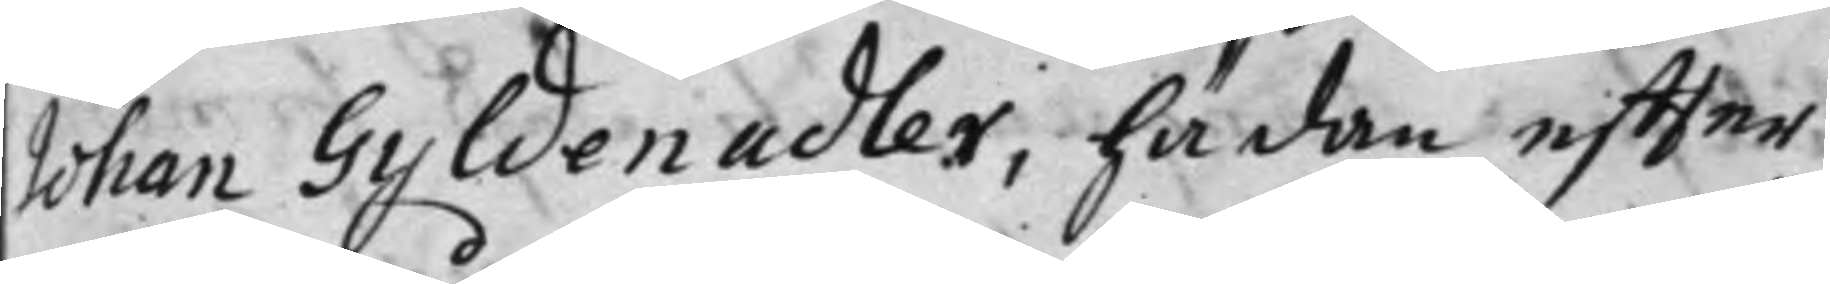Johan Gyldenadler, hädan effter
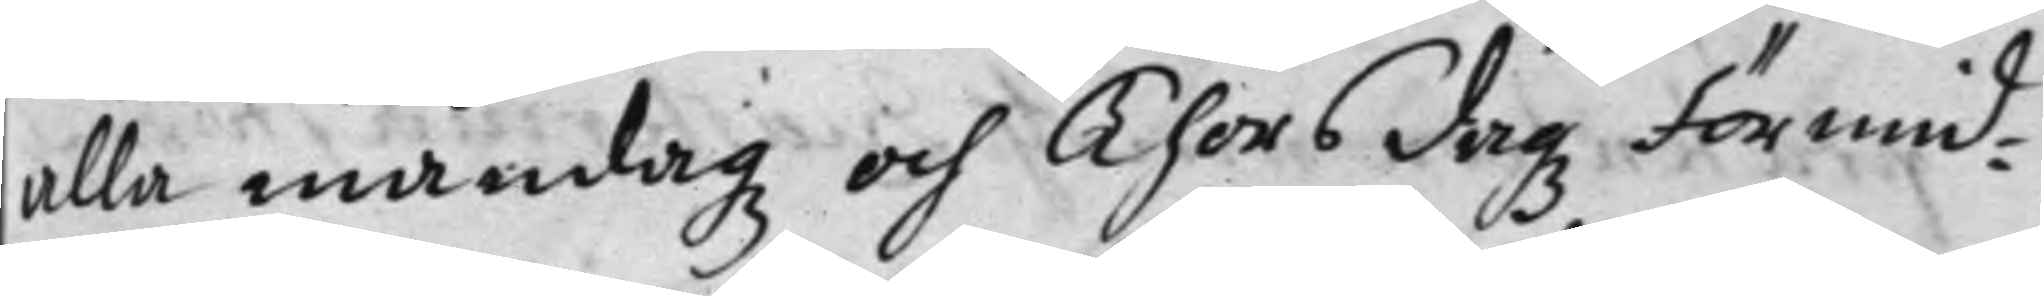alla måndagz och Thorsdagz Förmid¬
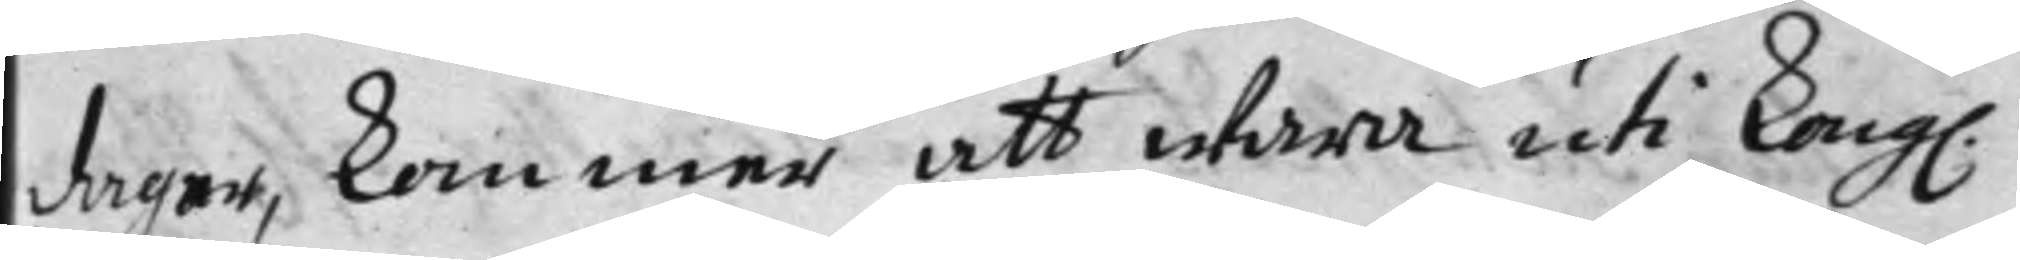dagar, kommer att wara uti Kong.
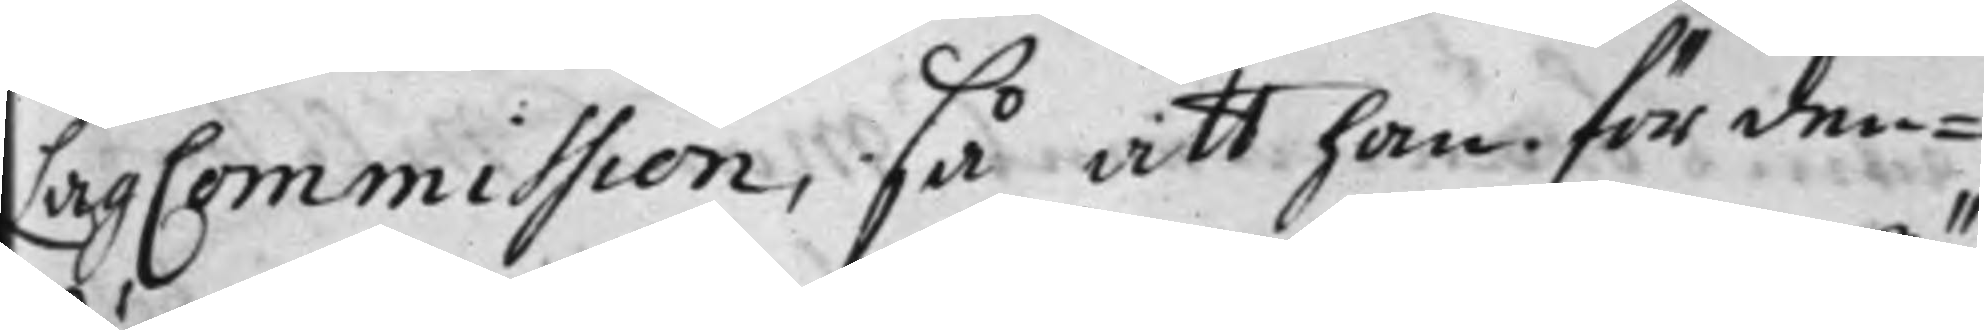LagCommission, så att han för den¬
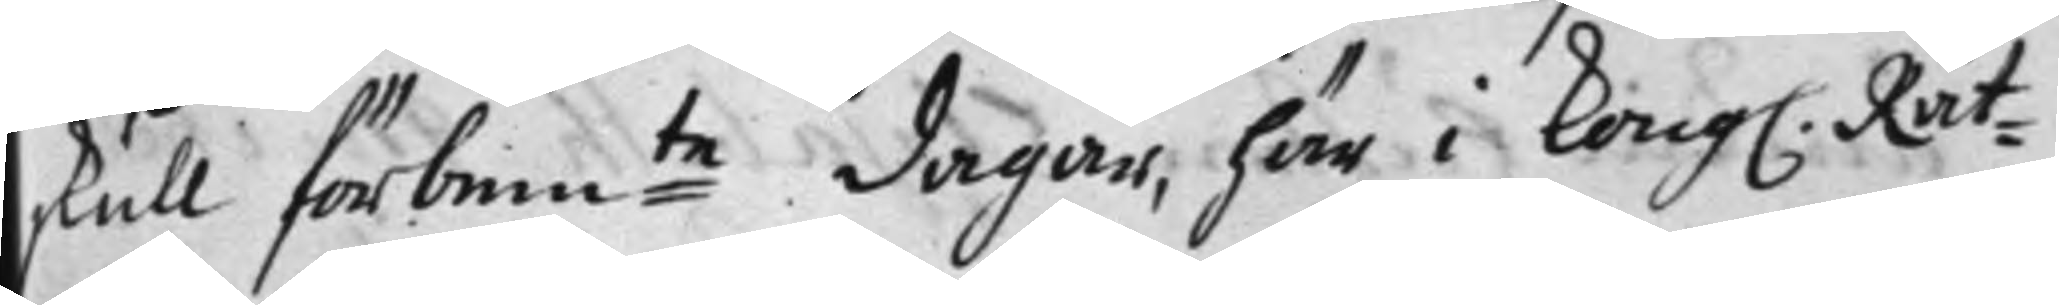skull förbem:te dagar, här i Kong. Rät¬
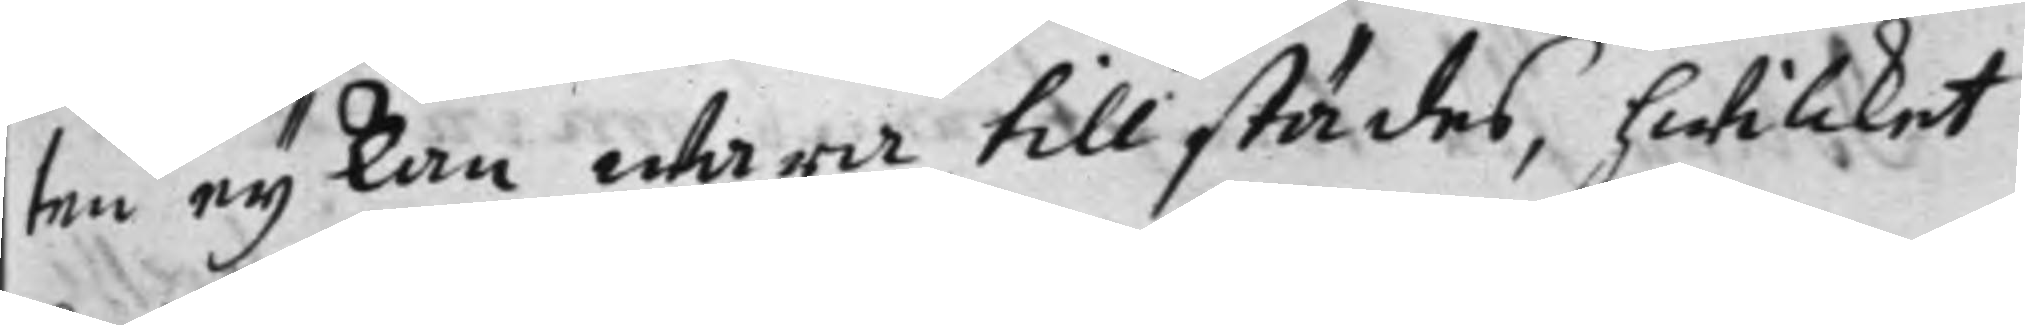ten ey kan wara tillstädes, hwilcket
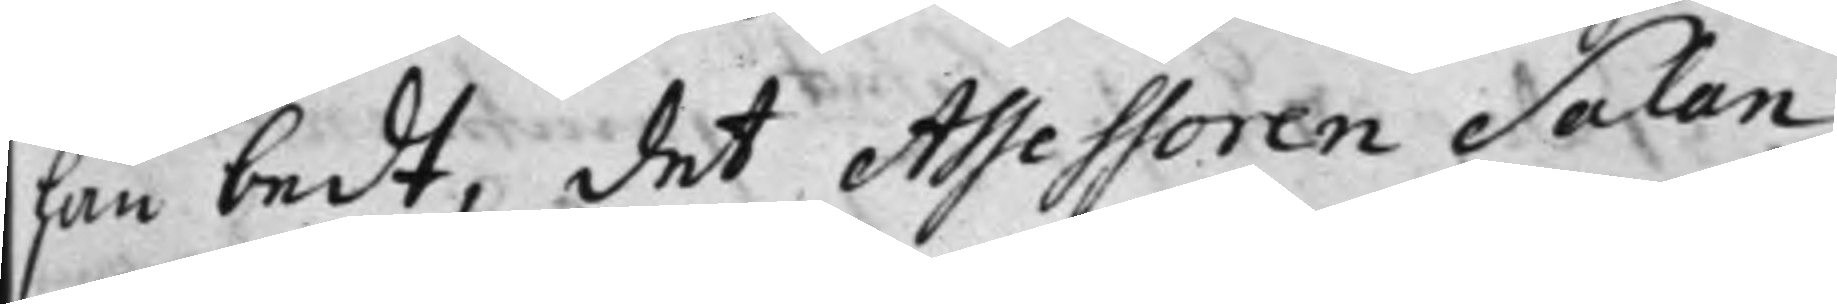han bedt, det Assessoren Salan
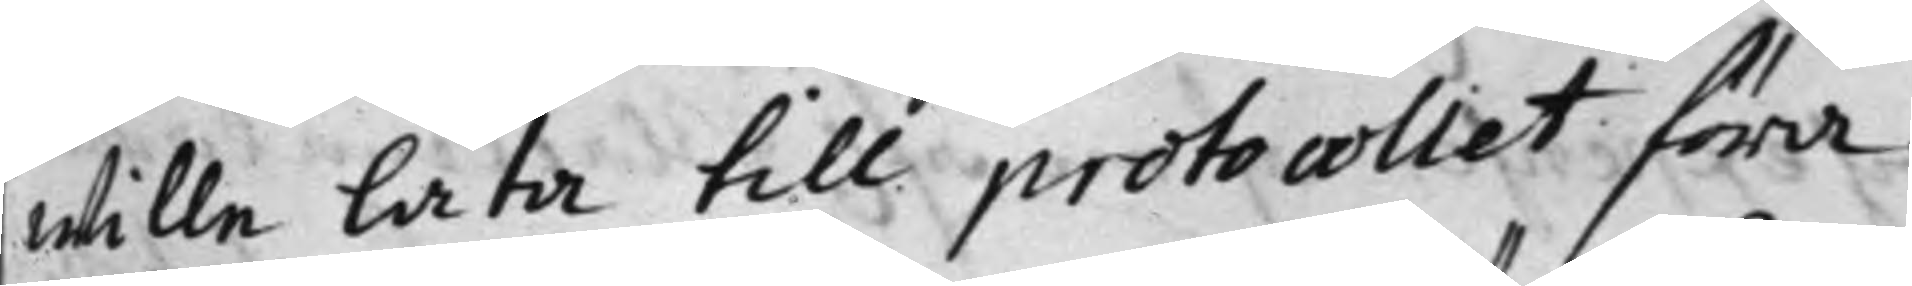wille låta till protocollet föra.
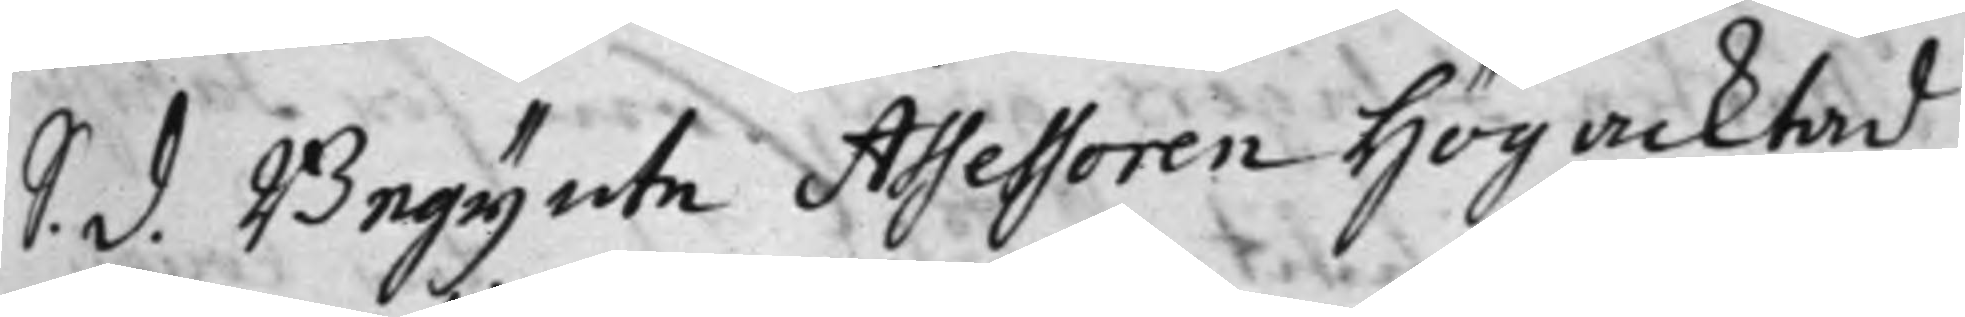S. d. Begynte Assessoren Högacktad
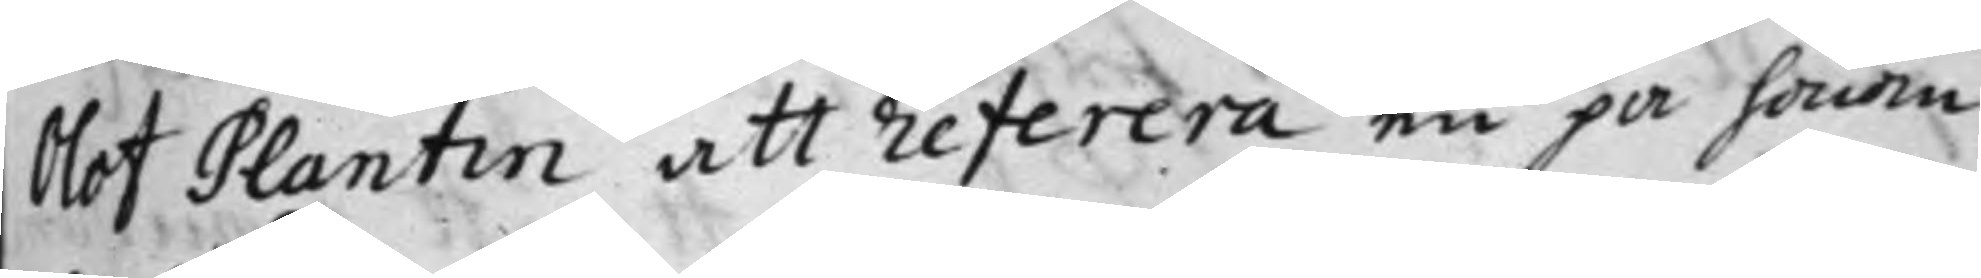Olof Plantin att referera en på honom
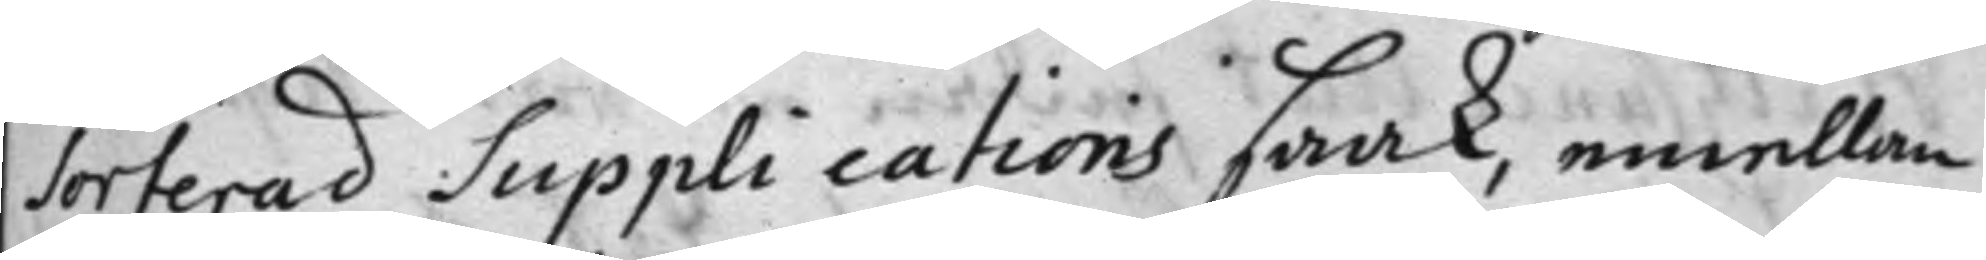Sorterad Supplications saak, emellan
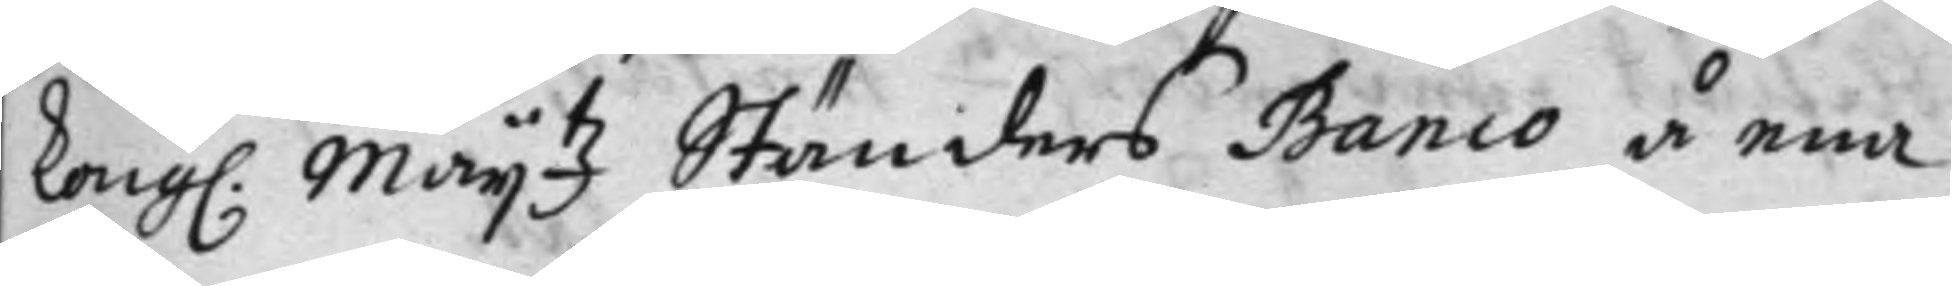Kong. Maij.tz Ständers Banco å ena
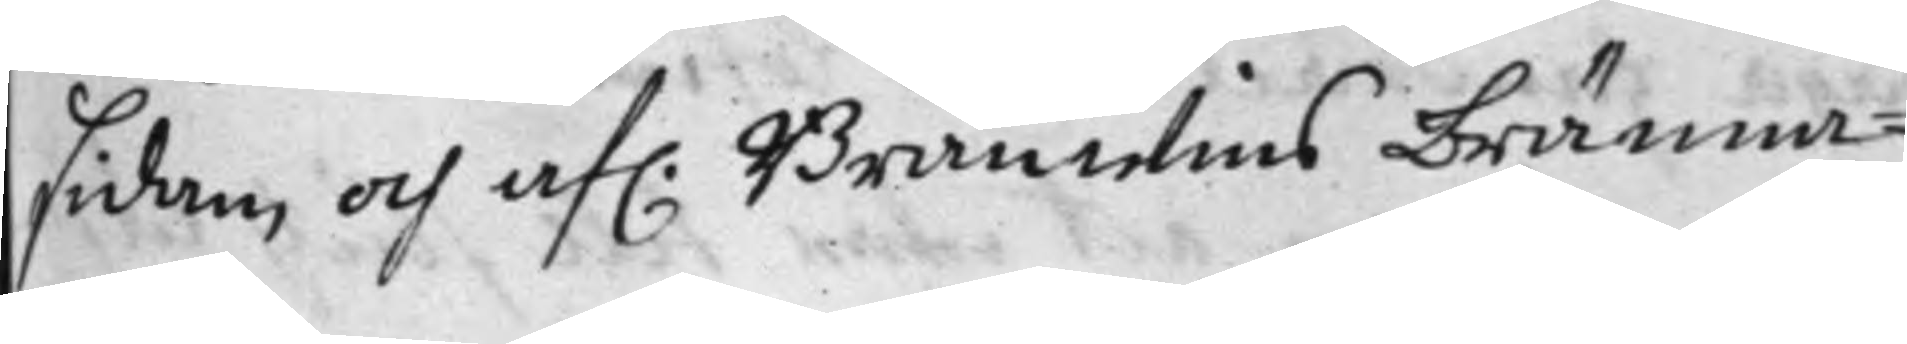sidan, och af. Bränwins bränna¬
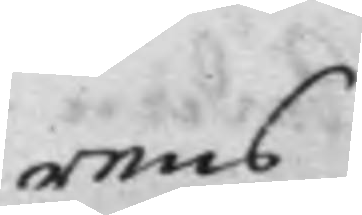rens
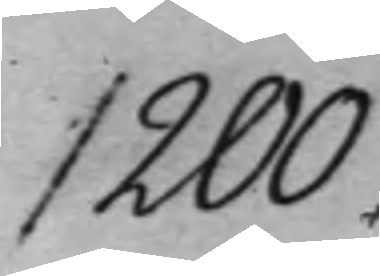1200.
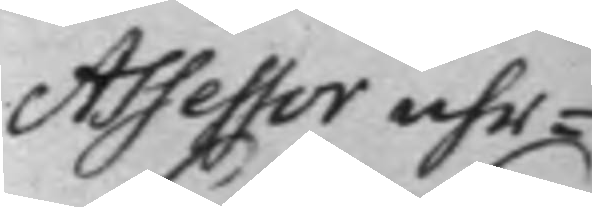Assessor uhr¬
